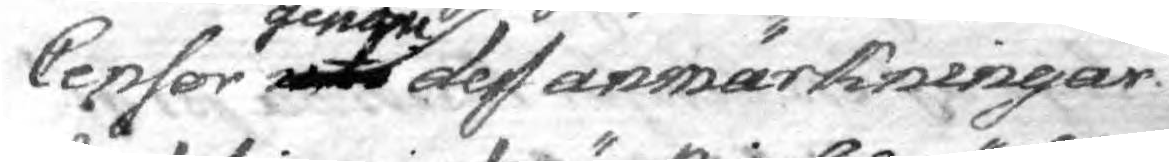Censor uti genom dess anmärkningar
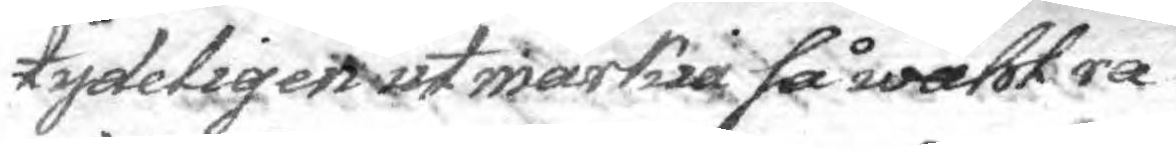tydeligen utmärkia så wähl ra¬
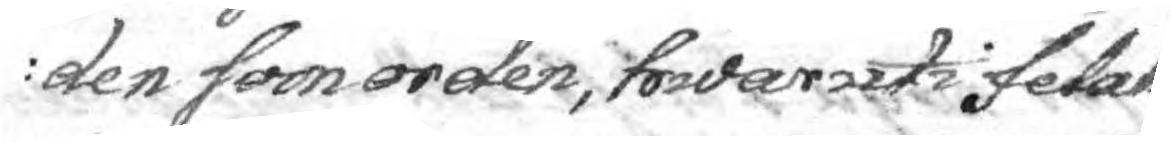den som orden, hwaruti fetak¬
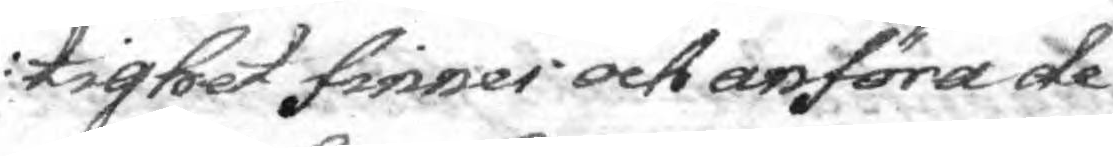tighet finnes och anföra de
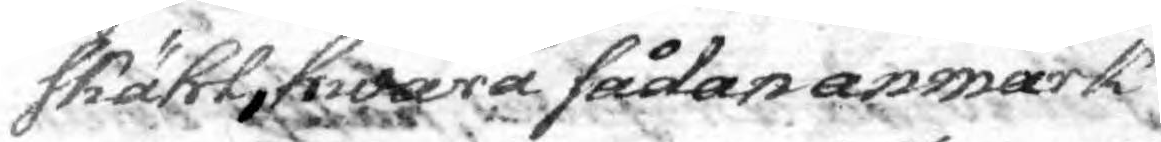skähl hwarå sådan anmärk¬
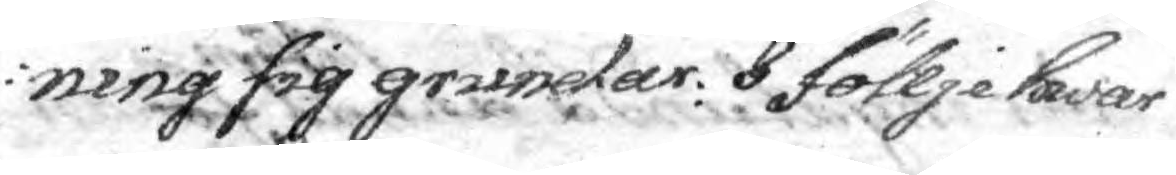ning sig grundar. I följe hwar
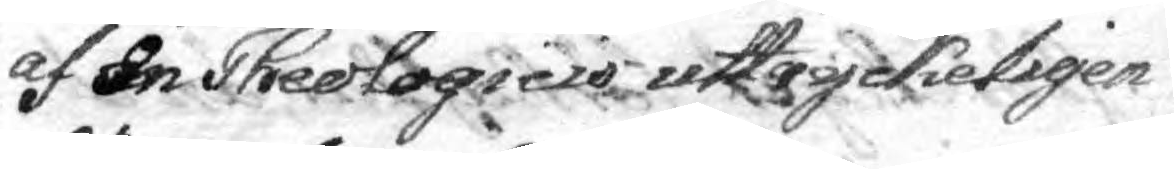af In Theologicis uttryckeligen
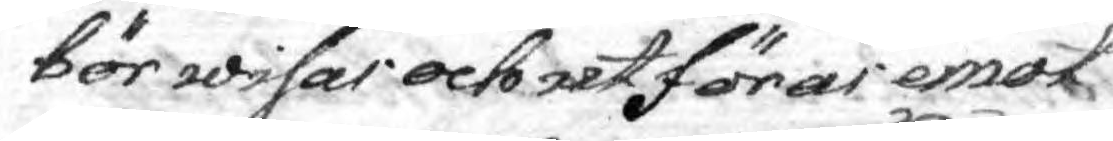bör wisas och utföras emot
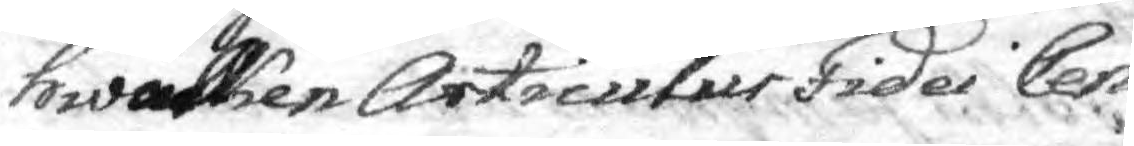whilken Articulur Tides Cen¬
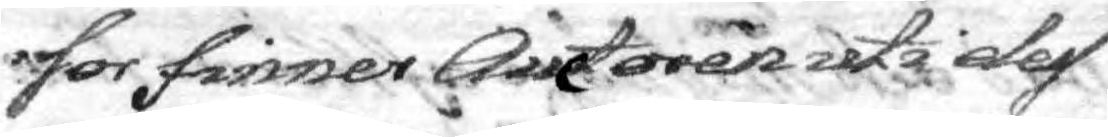sor finner Auctoren uti dess
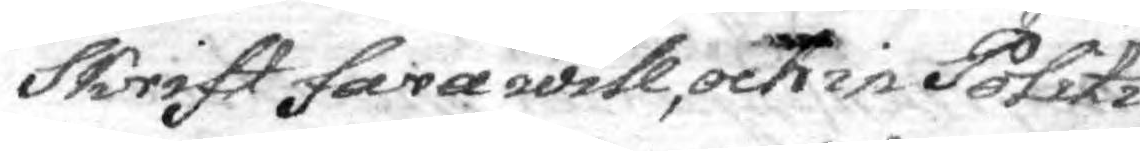Skrift fara will, och in Politi¬
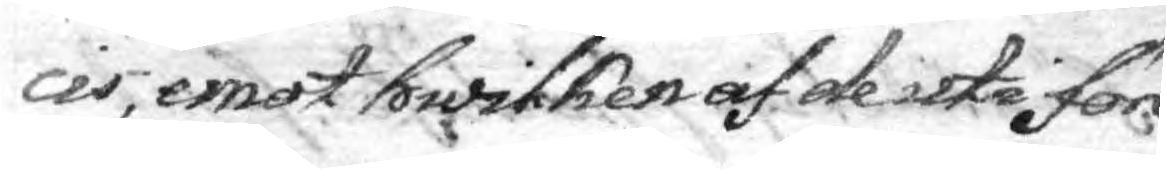ces, emot hwilken af de uti före¬
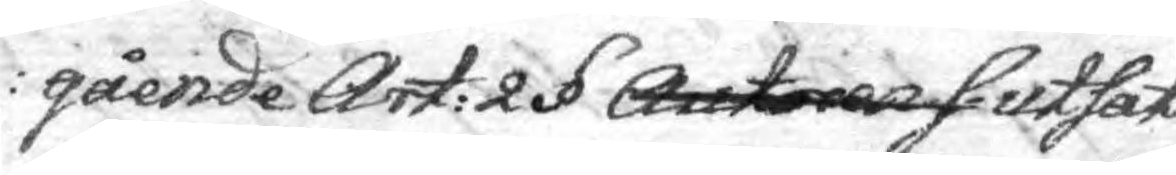gående Art: 2 § Autoren s utsat¬
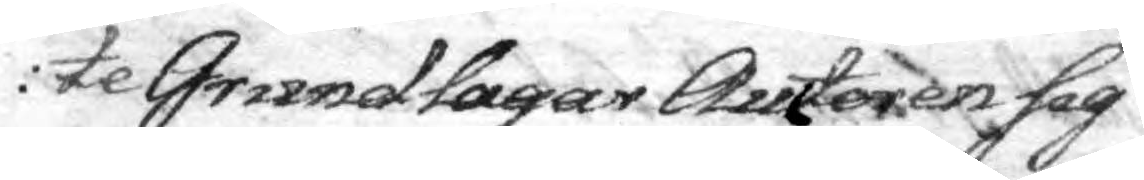te Grundlagar Auctoren sig
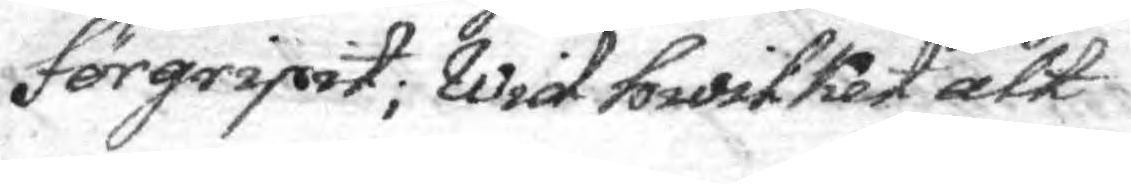förgripit; Wid hwliket alt¬
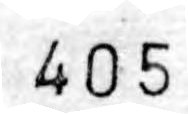405
